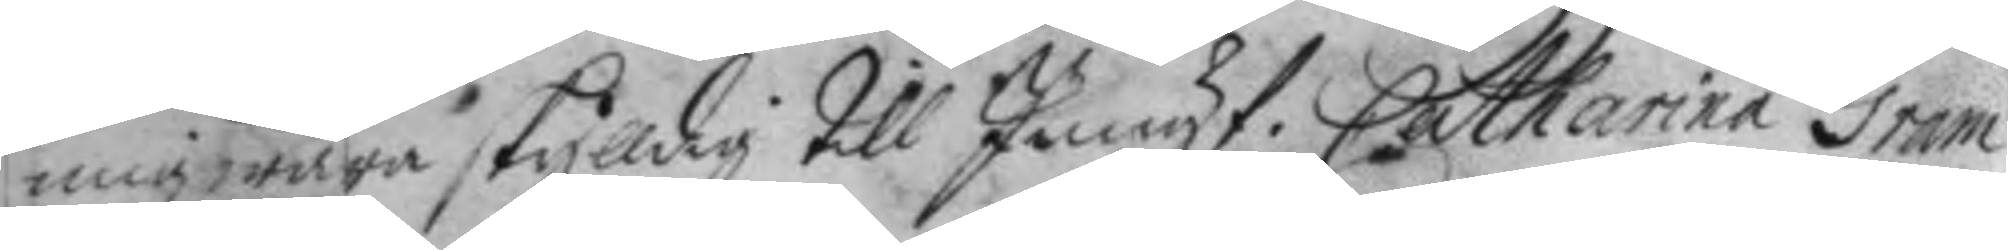mig wara skylldig till Jungf. Catharina Gram
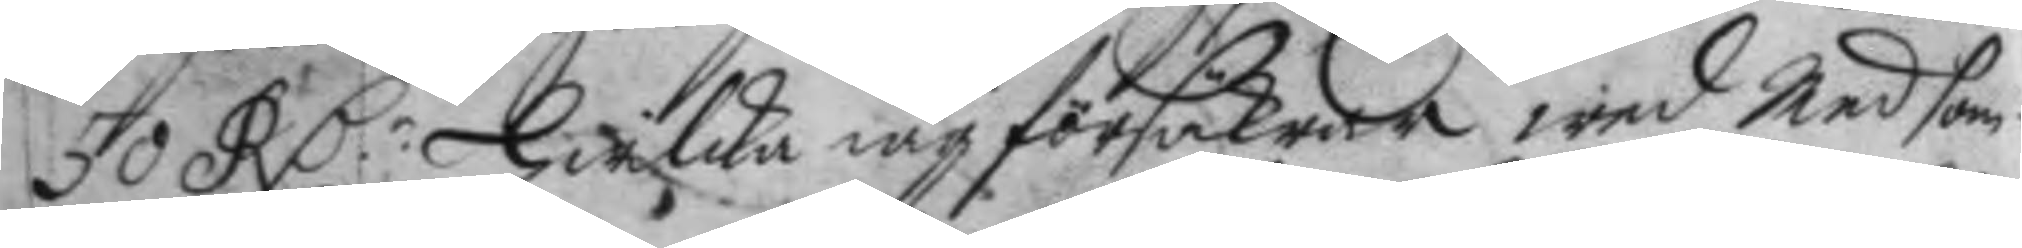50 RD.r Hwilka iag försäkrar wid Med som¬ 
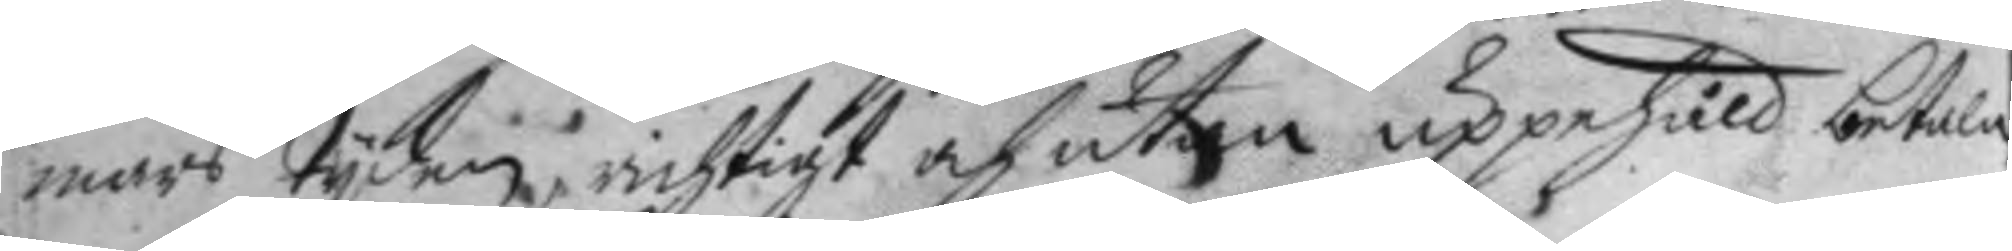mars tyden, richtigt och utan uppehåll betala
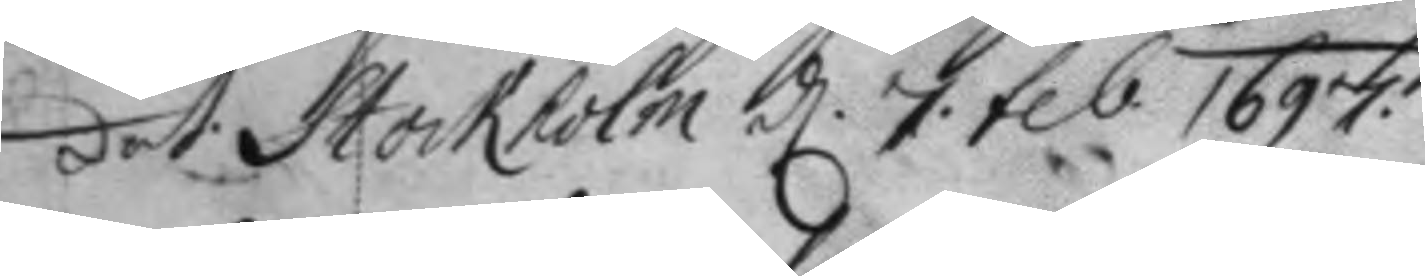dat: Stockholm d. 7. feb. 1697. 
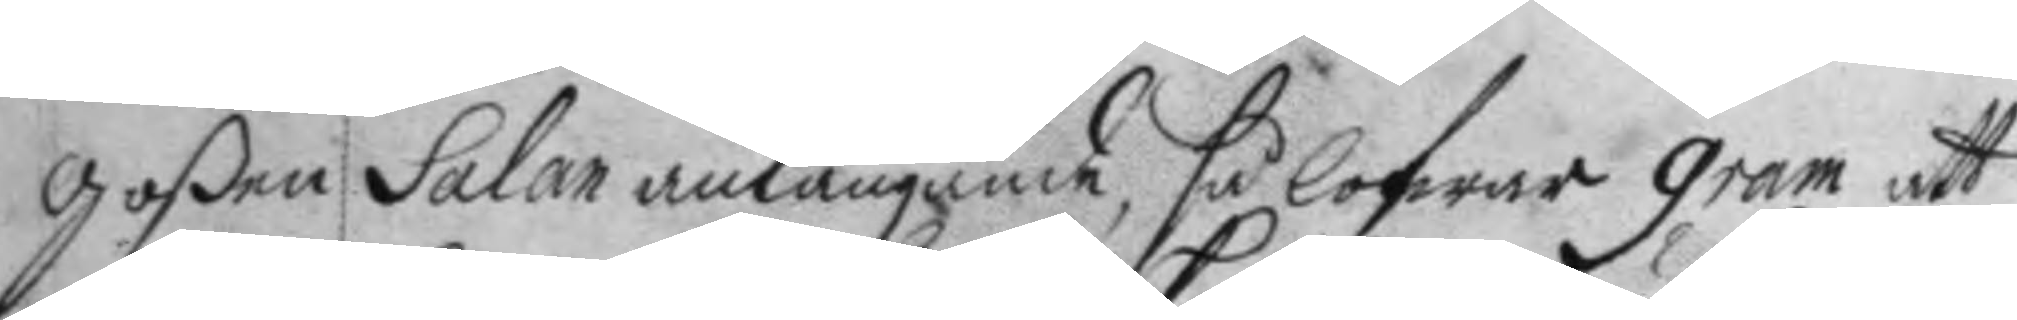Goßen Salan anlangande, så lofwer gram att
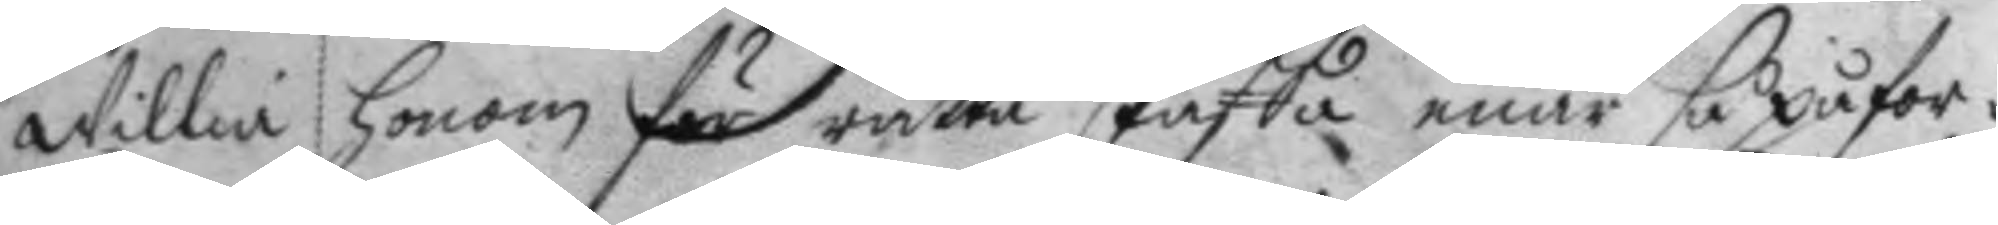willia honom för rätta skaffa enär så påfor¬
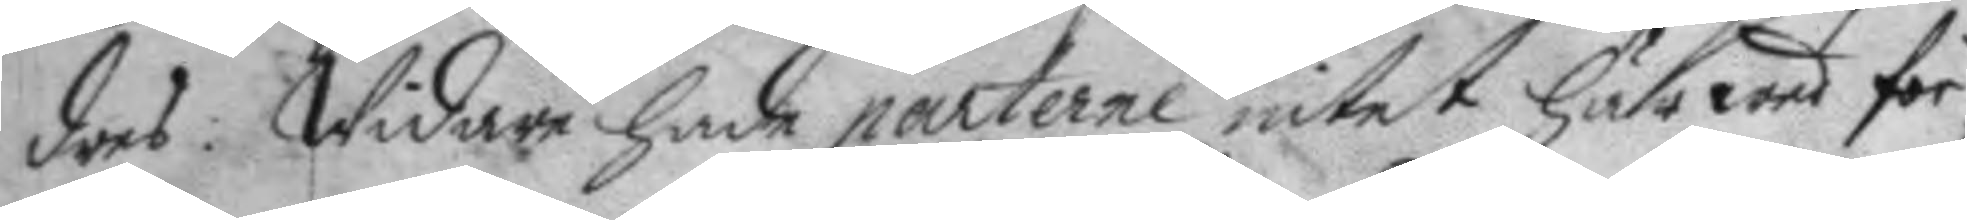dres: Widare hade parterne intet härwed för
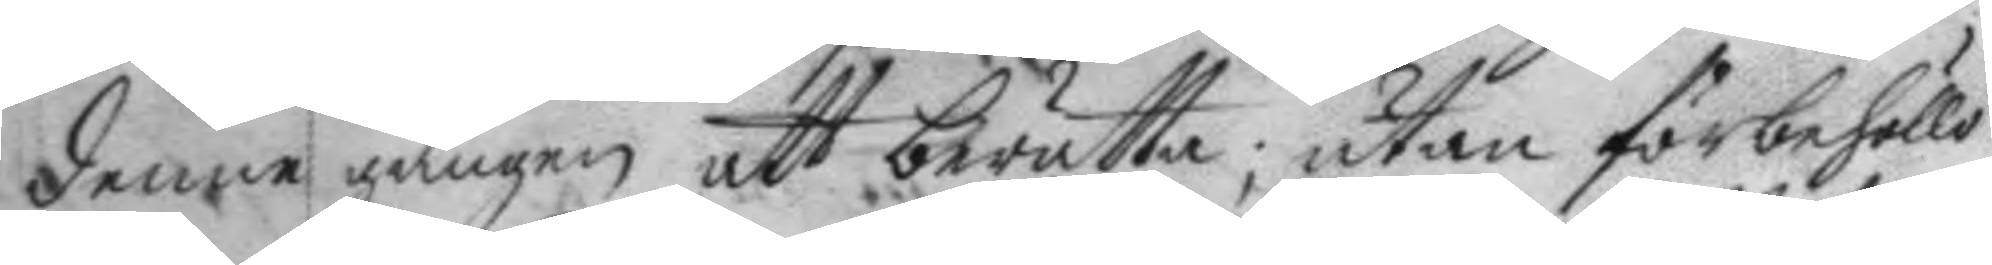denne gången att berätta; utan förbehöllo
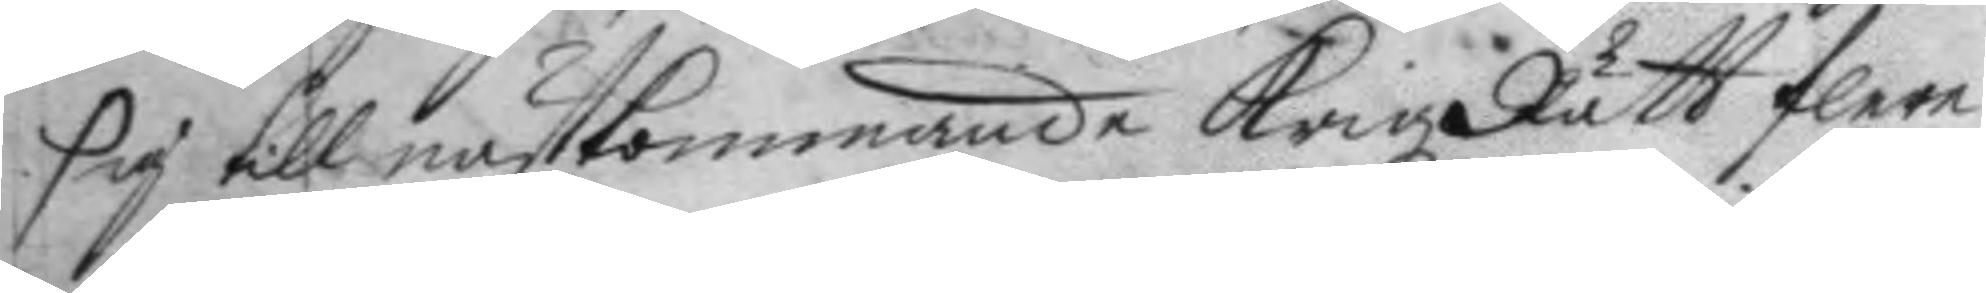sig till nästkommande KrigRätt flere
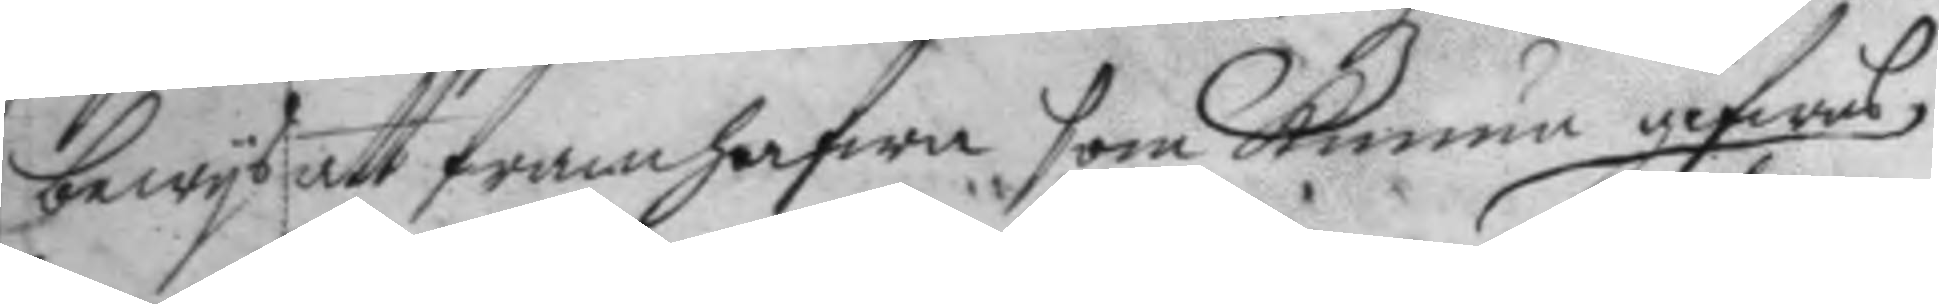bewys att framhafwa, som kunna gifwas
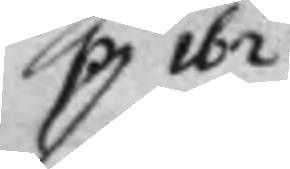p 162 
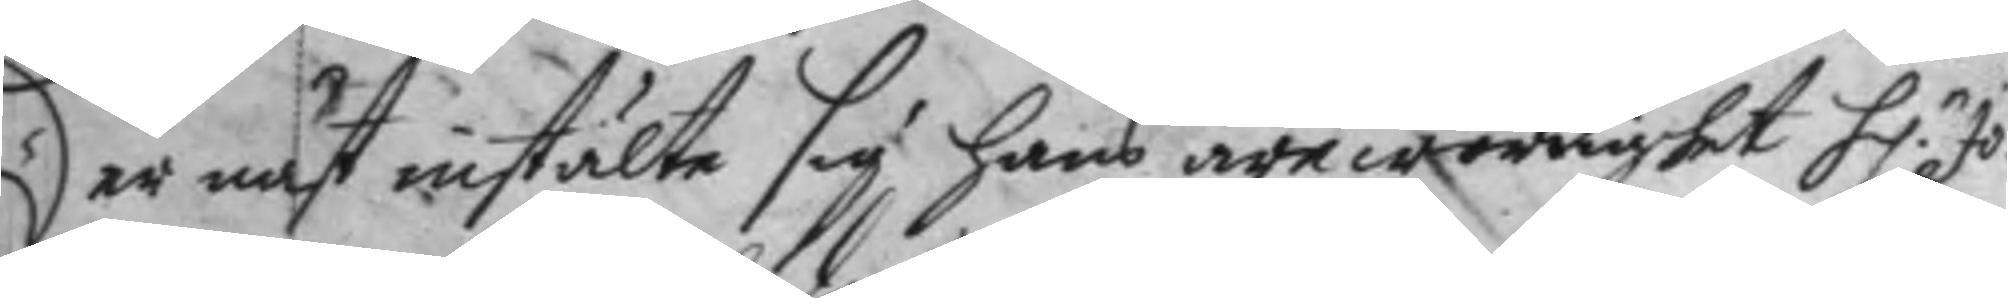der näst instälte sig hans ärewördighet H:r Jo¬ 
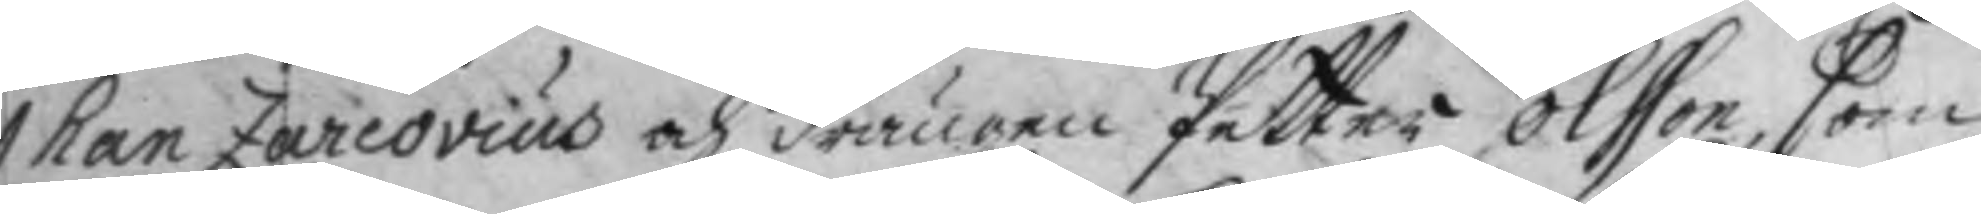han Zarcovius och drängen Petter Olsson, som
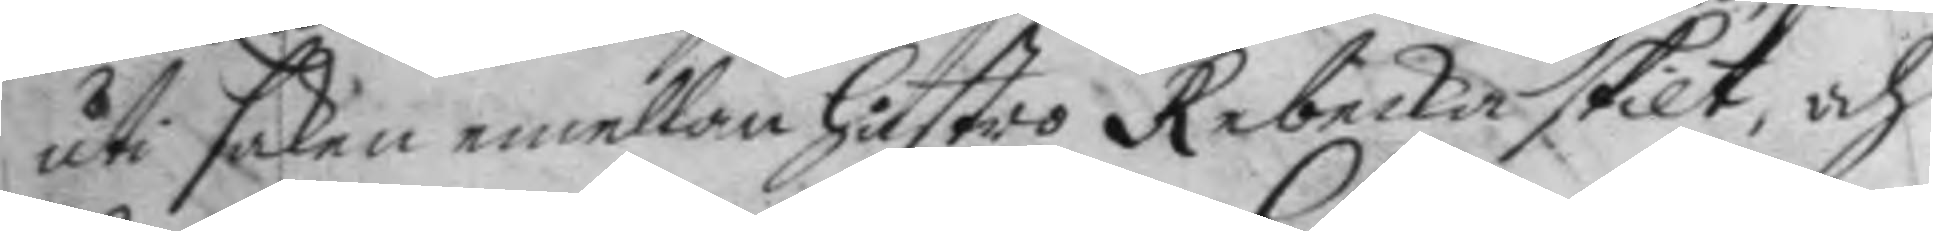uti saken emellan hustro Rebecka skilt, och
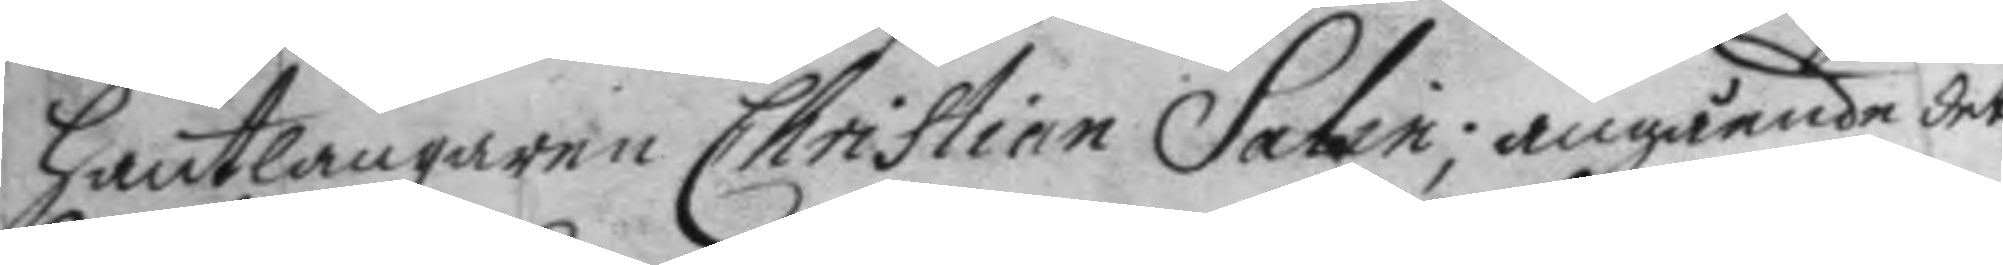hantlangaren Christian Salin; angående det
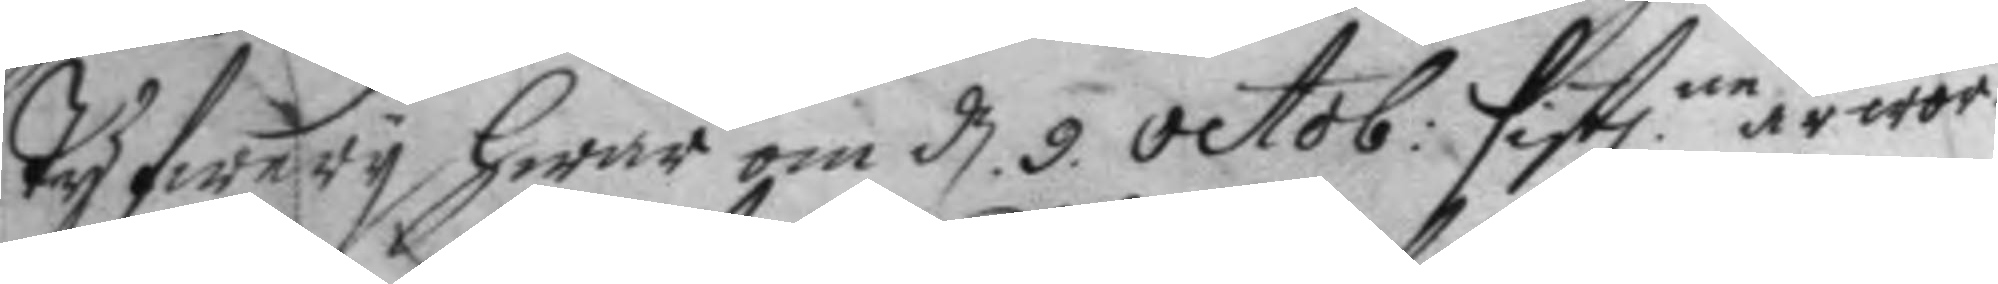tyfwery hwar om d. 9. octob: sistl.ne är wor¬ 
